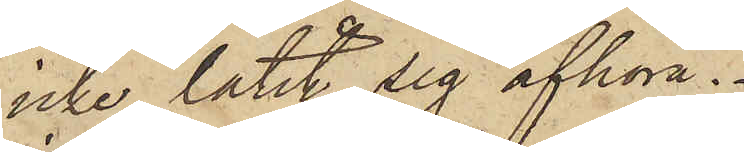icke låtit sig afhöra.
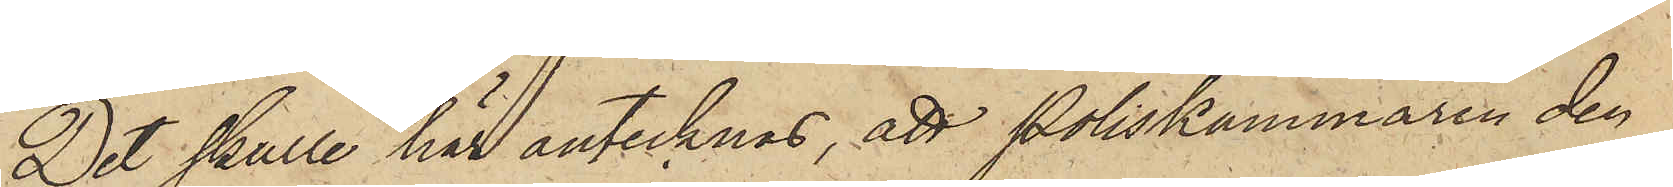Det skulle här antecknas, att Poliskammaren den
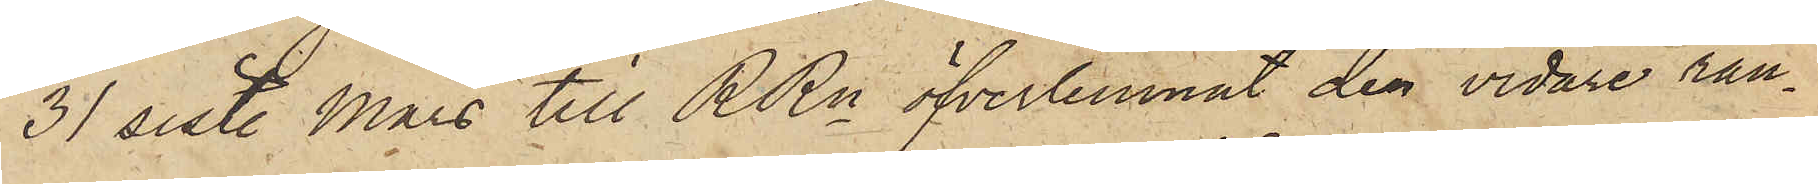31 sist. Mars till RRn öfverlemnat den vidare ran¬
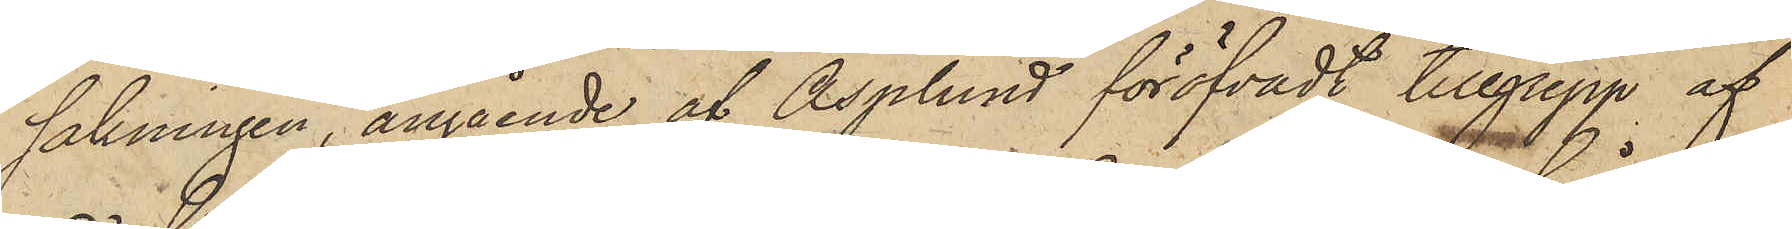sakningen, angående af Asplund föröfvadt tillgrepp af
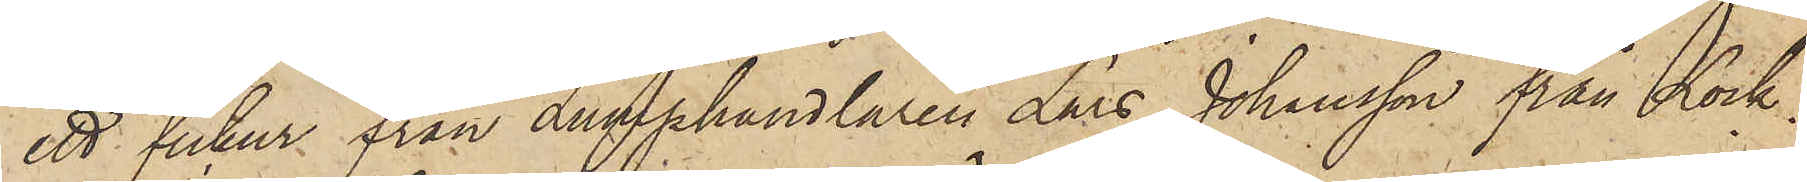ett fickur från Lumphandlaren Lars Johansson från Lock¬
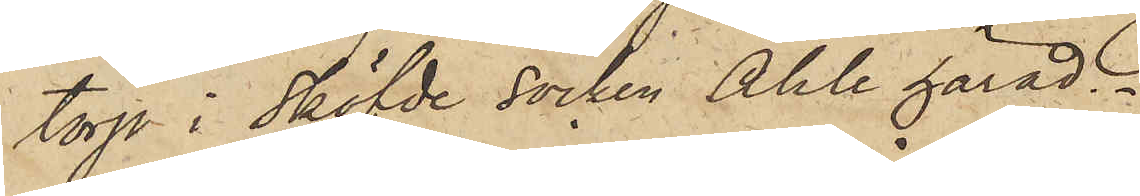torp i Sköfde socken Ahle härad.
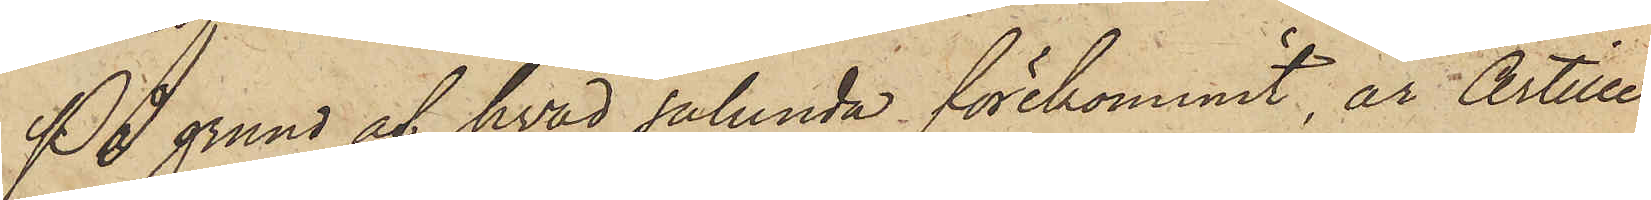På grund af hvad sålunda förekommit, är Artille¬
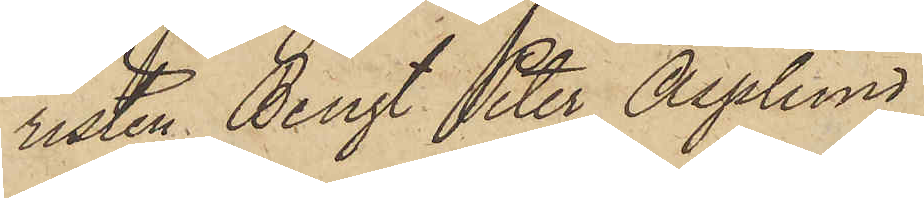risten Bengt Peter Asplund
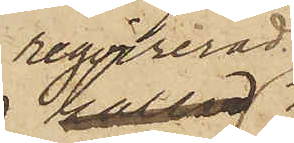reqvirerad
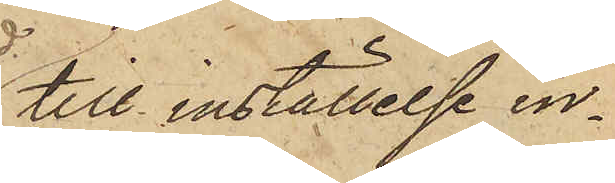till inställelse in¬
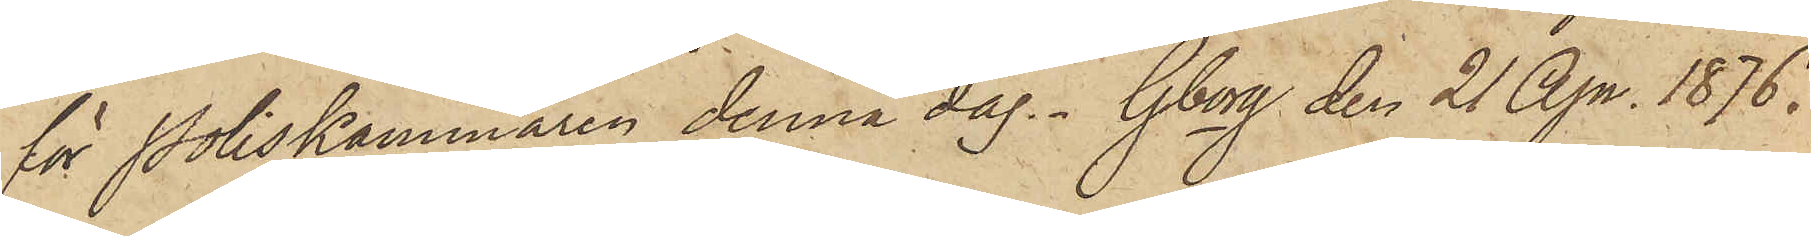för Poliskammaren denna dag. Gborg den 21 Apr. 1876.
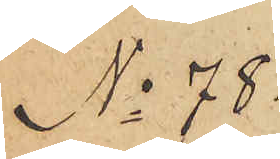No 78
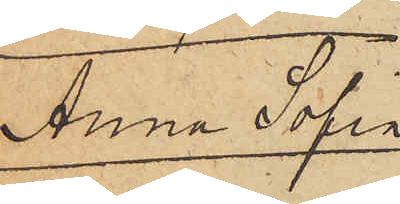Anna Sofia
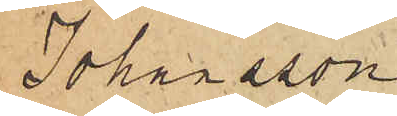Johansson
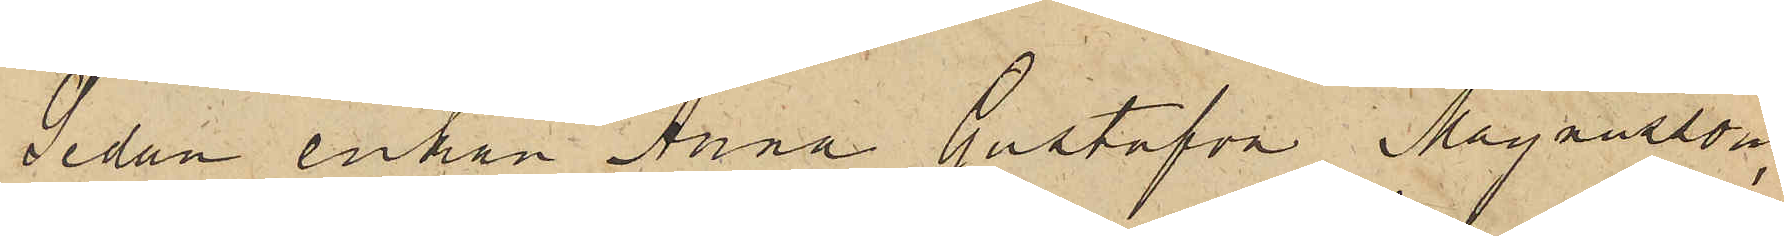Sedan enkan Anna Gustafva Magnusson,
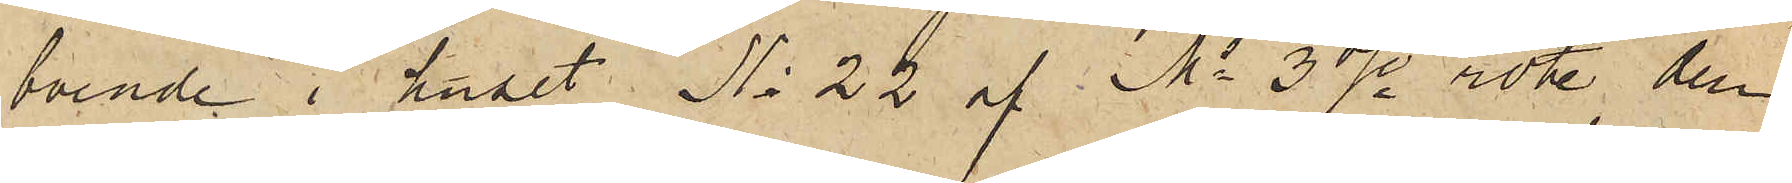boende i huset No 22 af Ms 3dje rote, den
